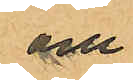och
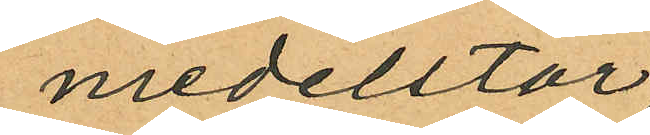medelstor
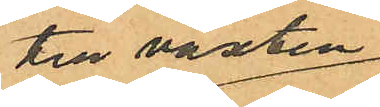till växten
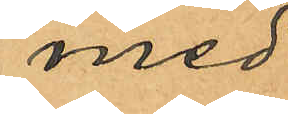med
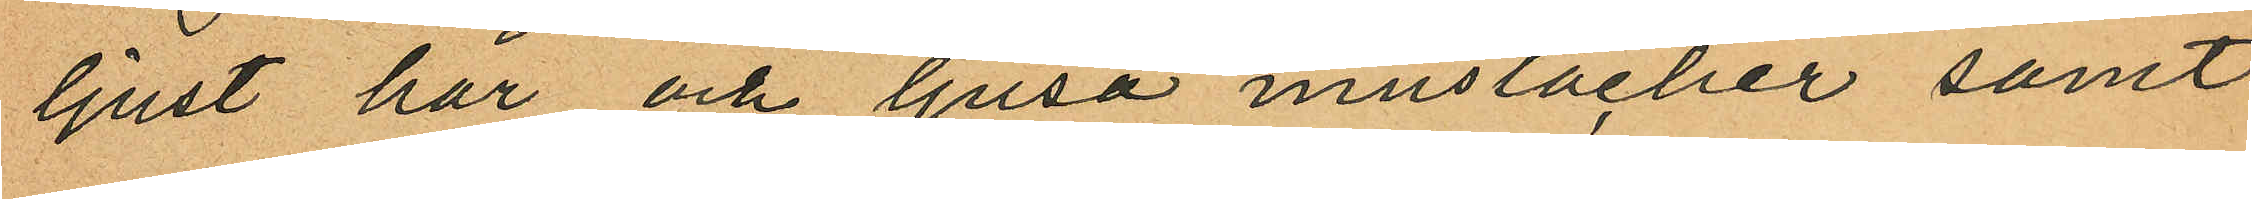ljust hår och ljusa mustacher samt
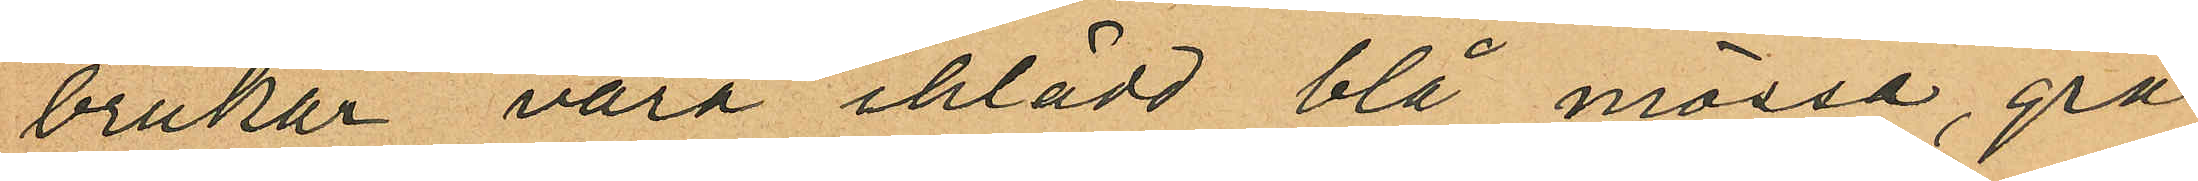brukar vara iklädd blå mössa, grå
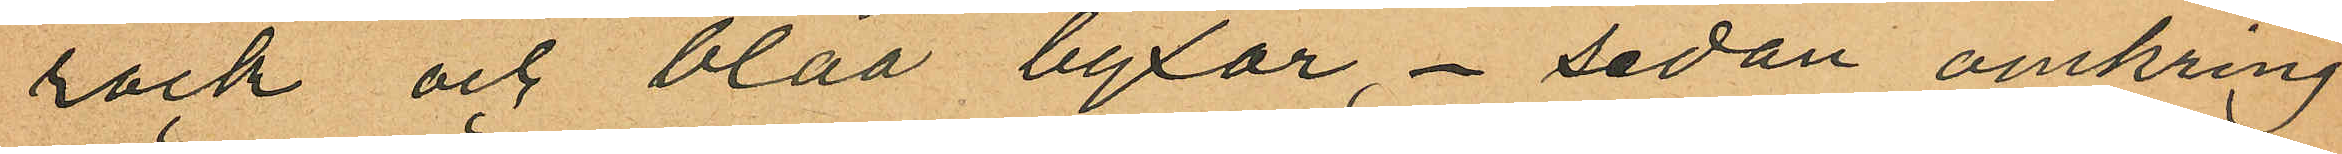rock och blåa byxor, - sedan omkring
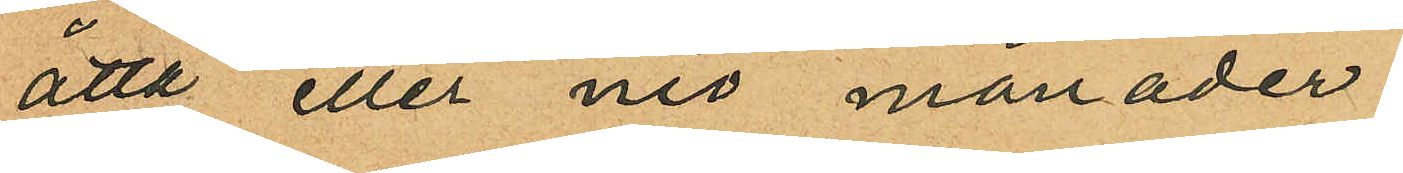åtta eller nio månader
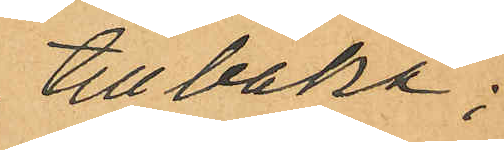tillbaka;
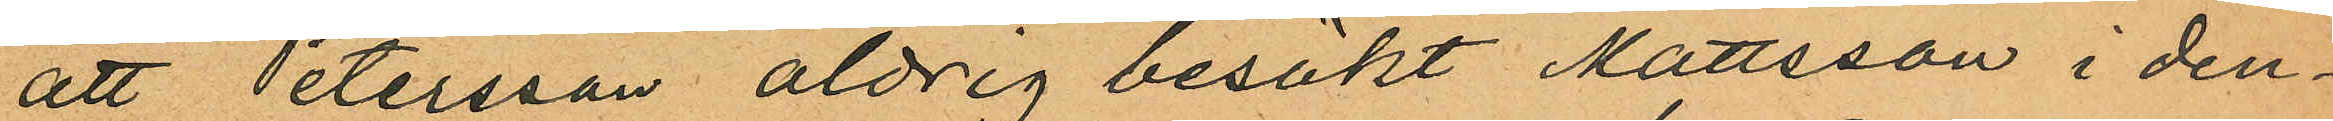att Petersson aldrig besökt Mattsson i den¬
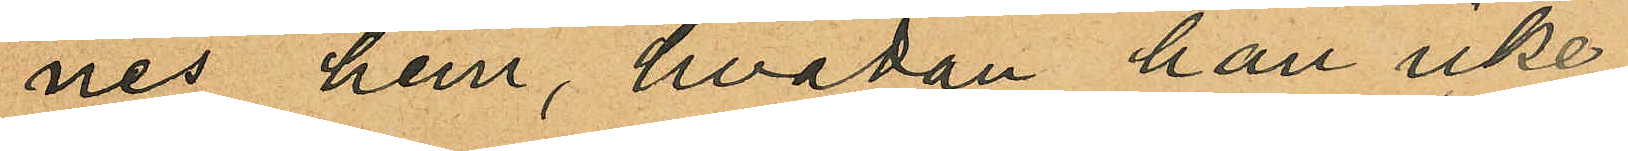nes hem, hvadan han icke
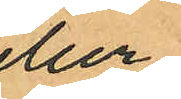eller
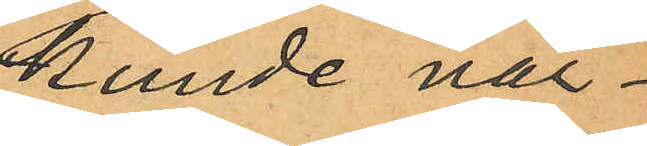kunde när¬
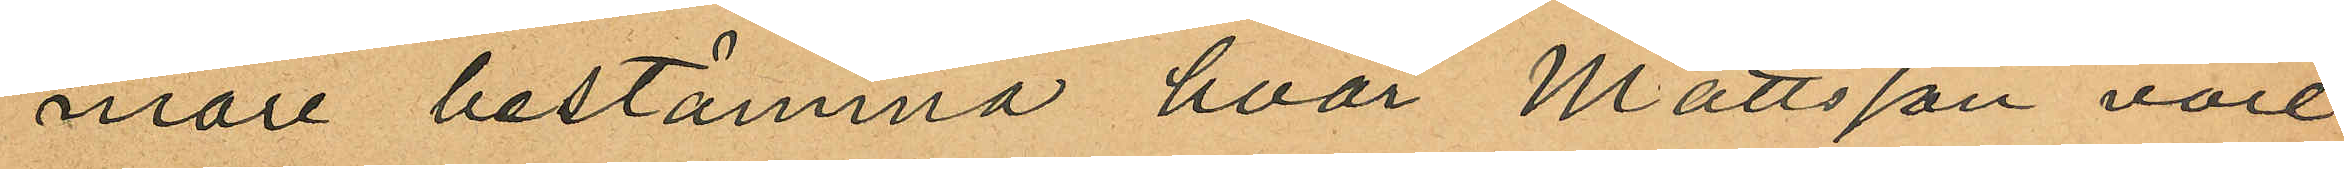mare bestämma hvar Mattsson vore
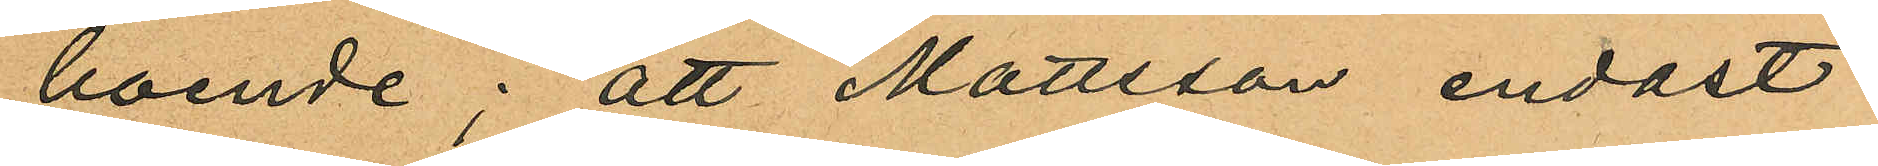boende; att Mattsson endast
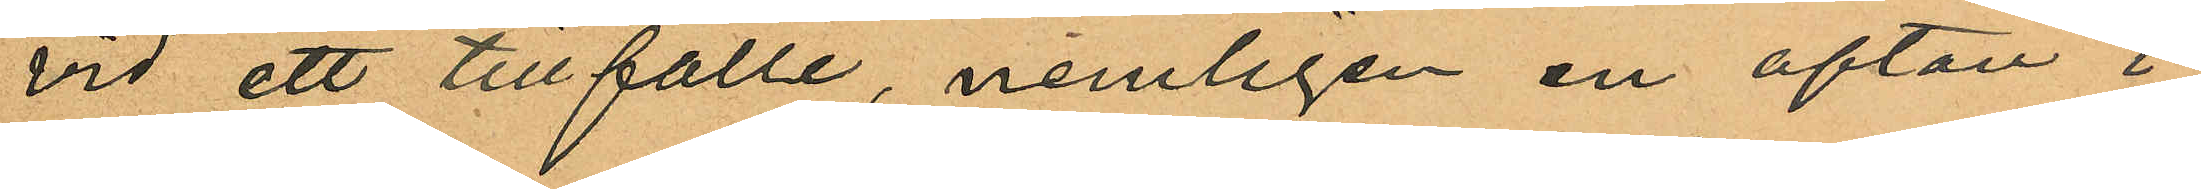vid ett tillfälle, nemligen en afton i
